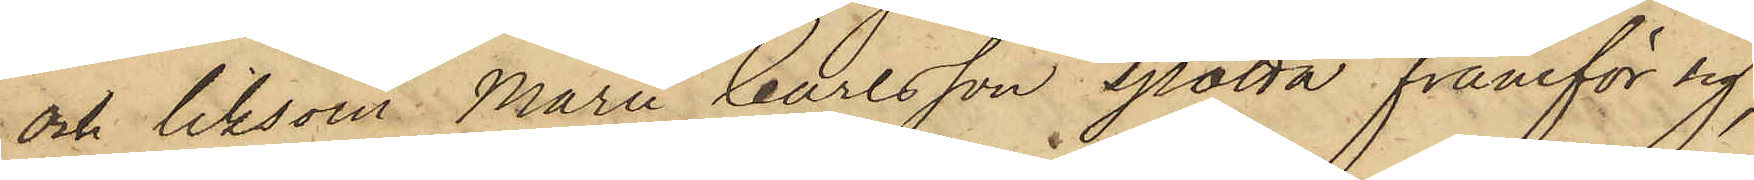och liksom Marie Carlsson spotta framför sig,
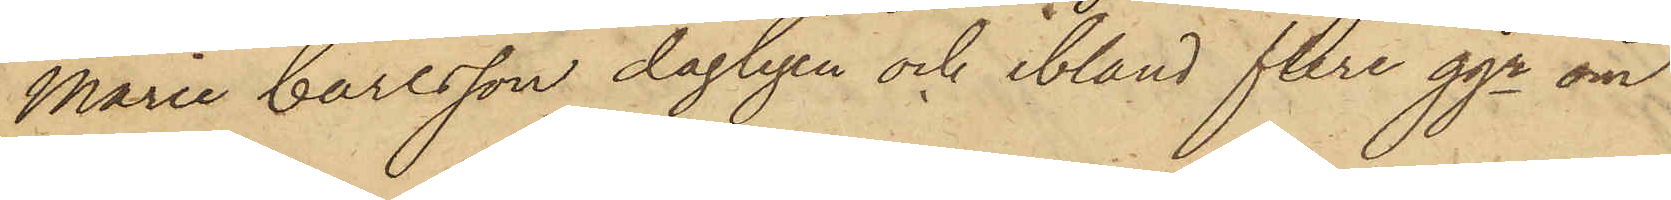Marie Carlsson dagligen och bland flere ggr om
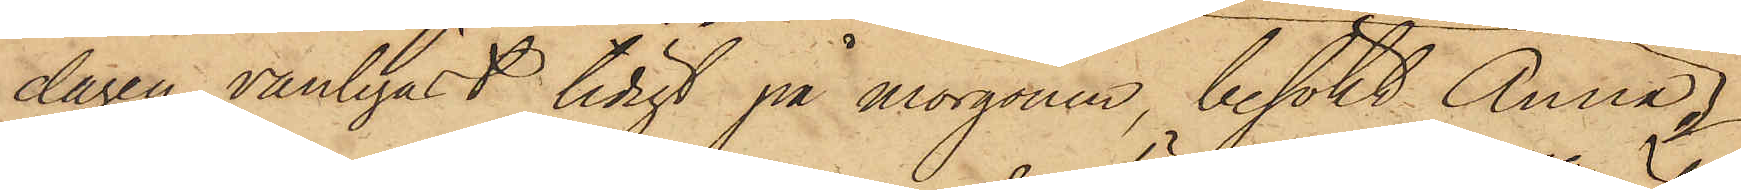dagen, vanligast tidigt på morgonen, besökt Anna
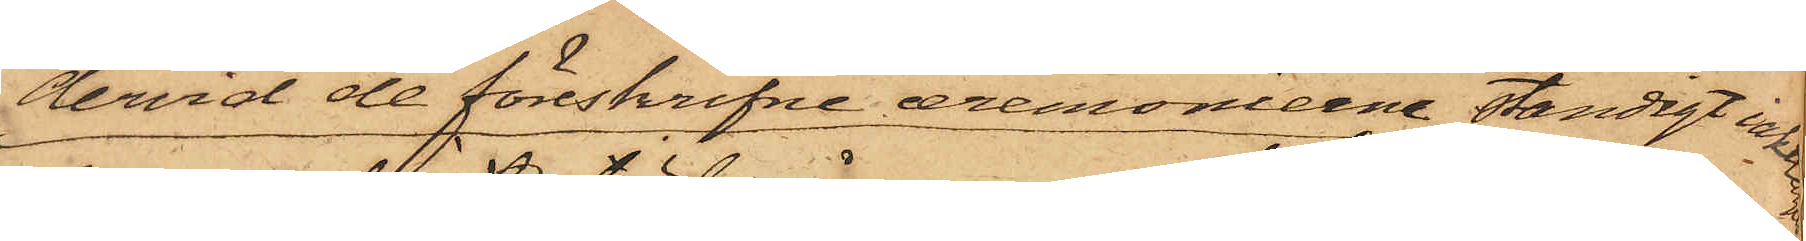dervid de föreskrifne ceremonierne ständigt iakttogos
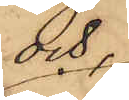och,
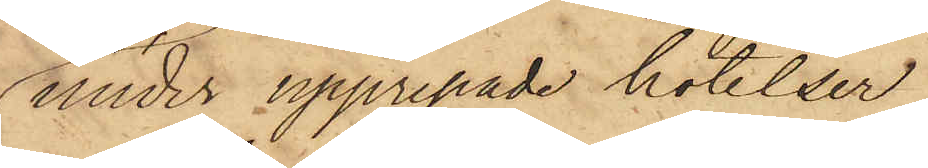under upprepade hotelser
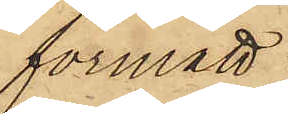förmått
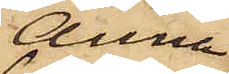Anna
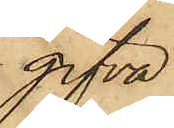gifva
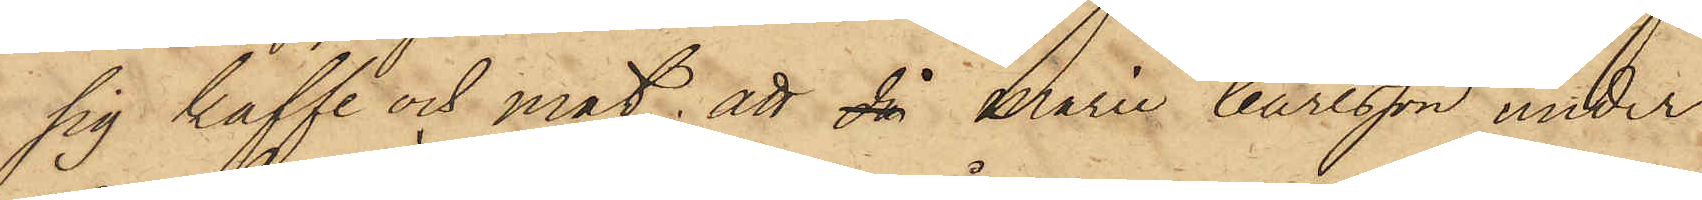sig kaffe och mat; att då Marie Carlsson under
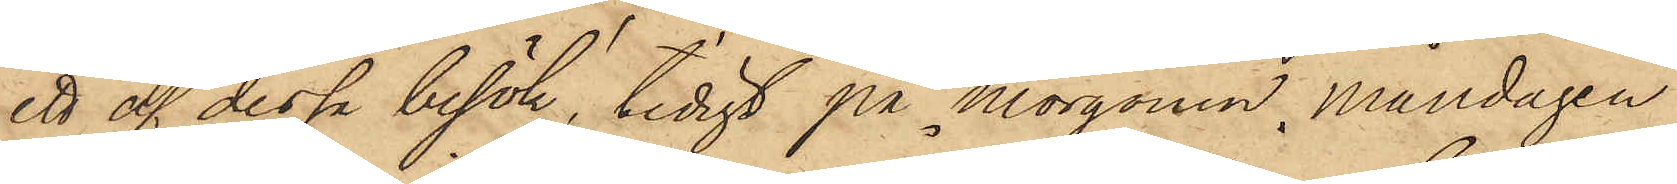ett af dessa besök, tidigt på morgonen Måndagen
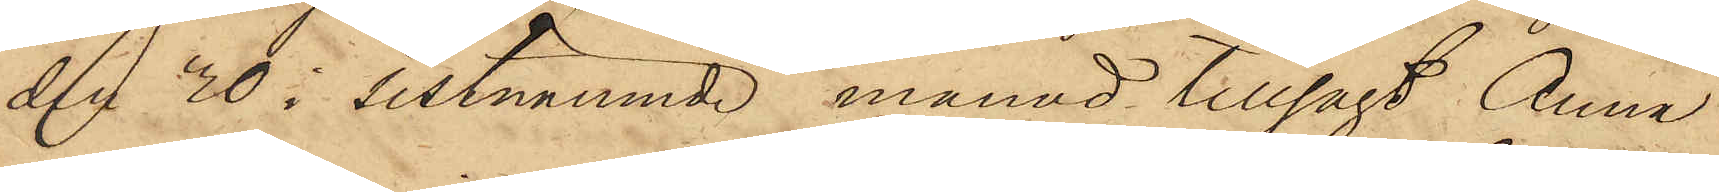den 30 i sistnämnde månad tillsagt Anna
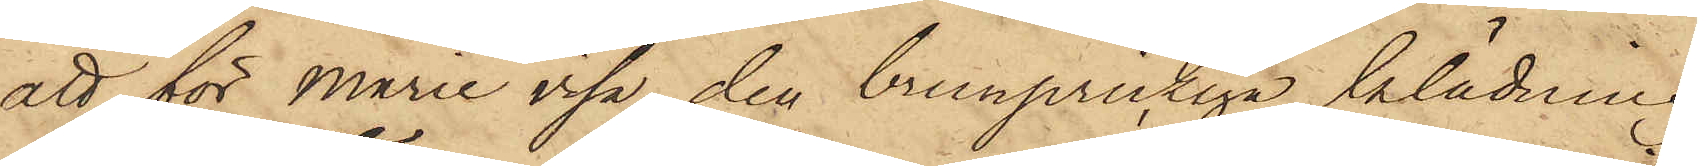att för Marie visa den brunprickiga klädning
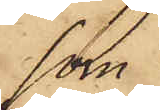skr.
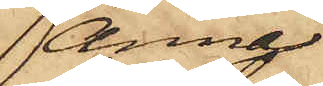Anna
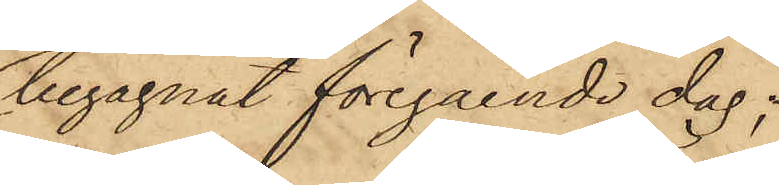begagnat föregående dag;
